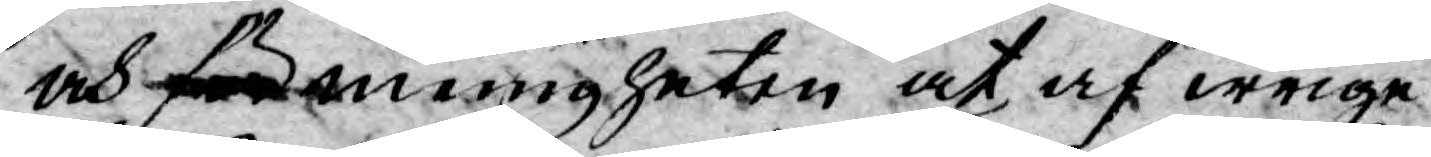och för menigheten at af irrige
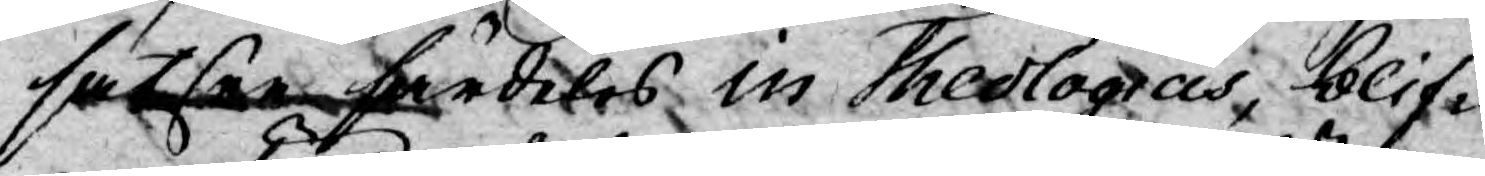satser särdeles in Theologicis, blif¬
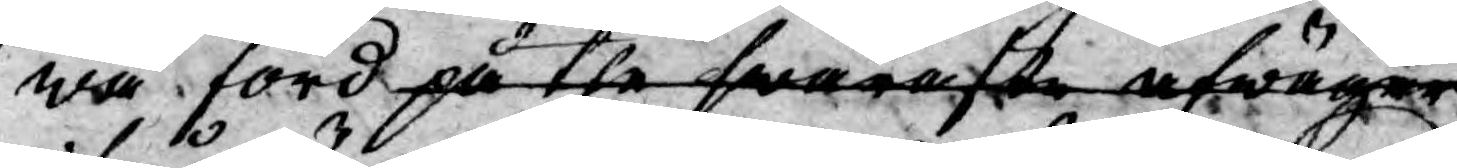wa förd på the swåraste afwägar
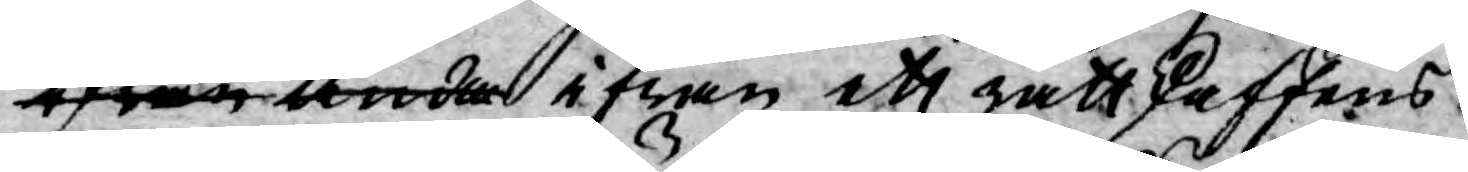ifrån ända ifrån ett rättskaffens
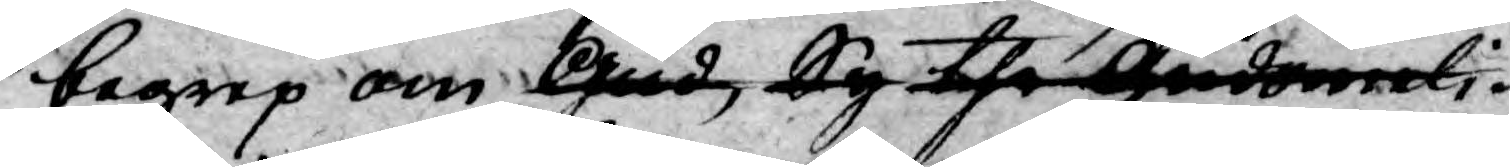begrep om Gud, ty the gudomeli 
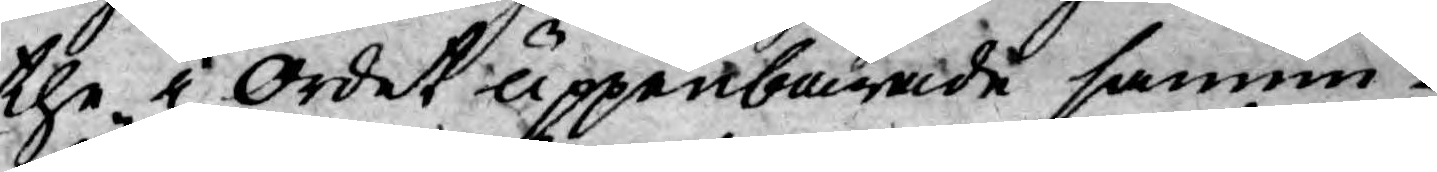the i ordet uppenbarade sannin¬
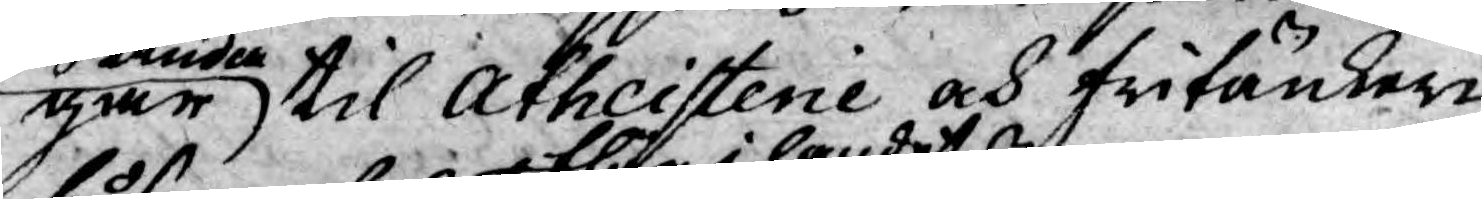gar ända til Atheisterie och fritänkare,
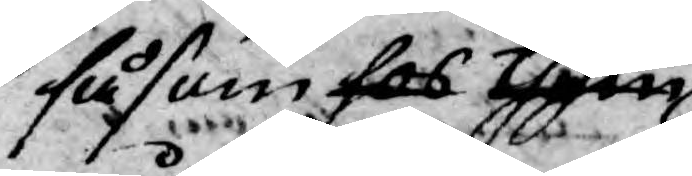såsom hos them 
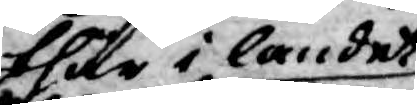thär i landet
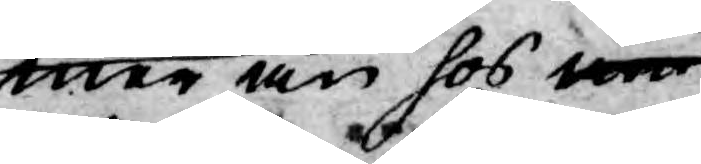mer än hos na
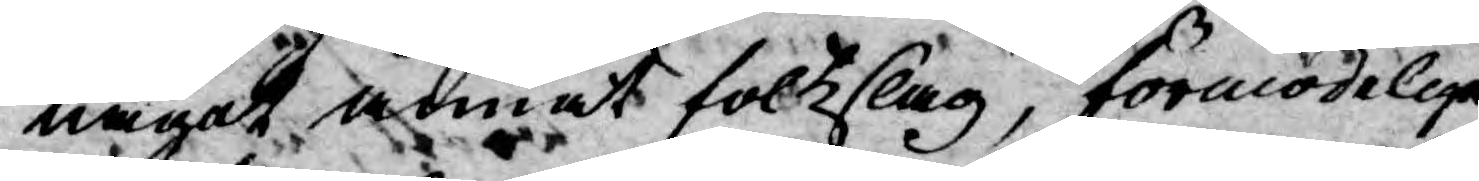något annat folkslag, förmodeligen,
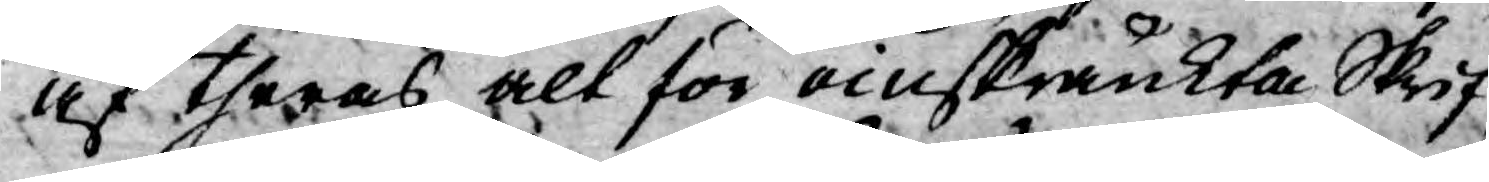af theras alt för oinskränkta Skrif-
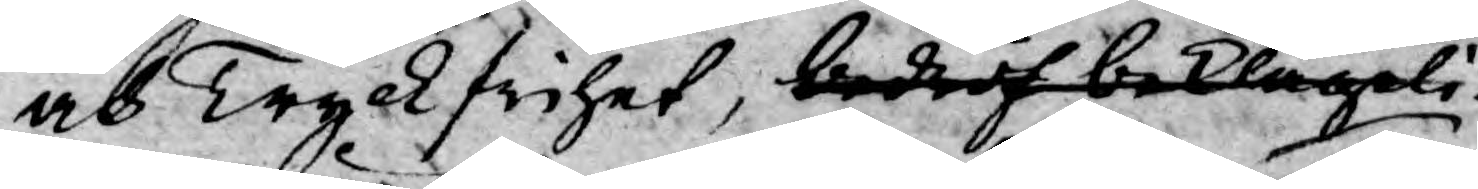och Tryckfrihet, bedröf beklageli¬
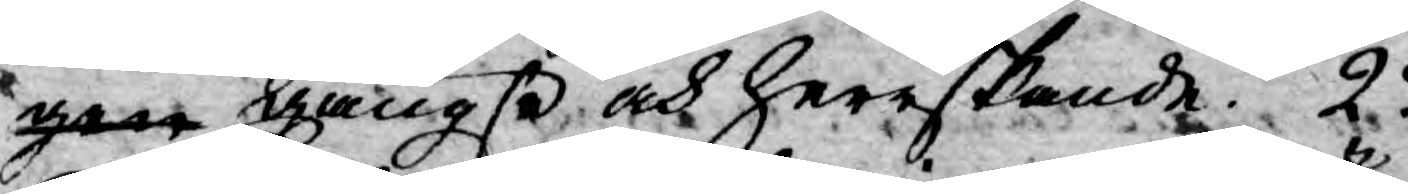gen gängse, och herrskande. 2o
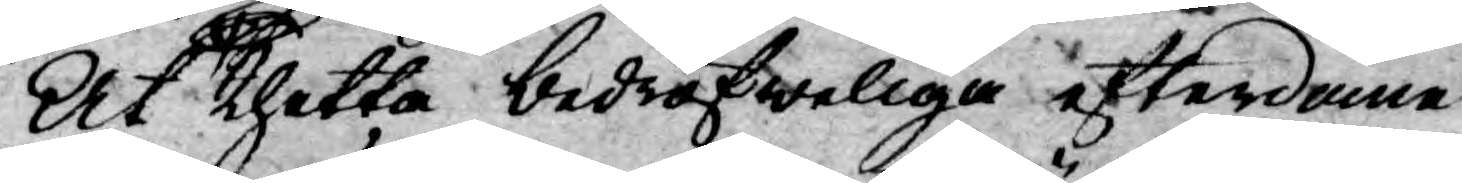At thetta bedröfweliga efterdöme
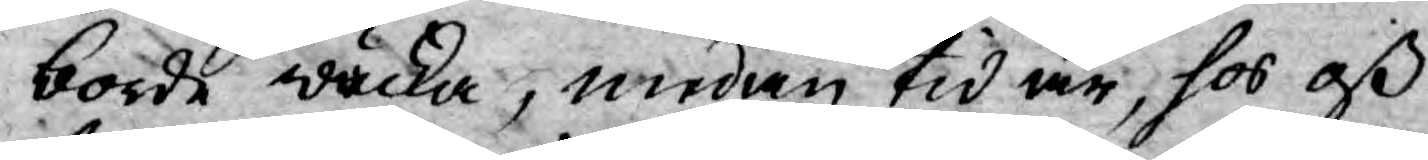borde wäcka, medan tid är, hos oß
